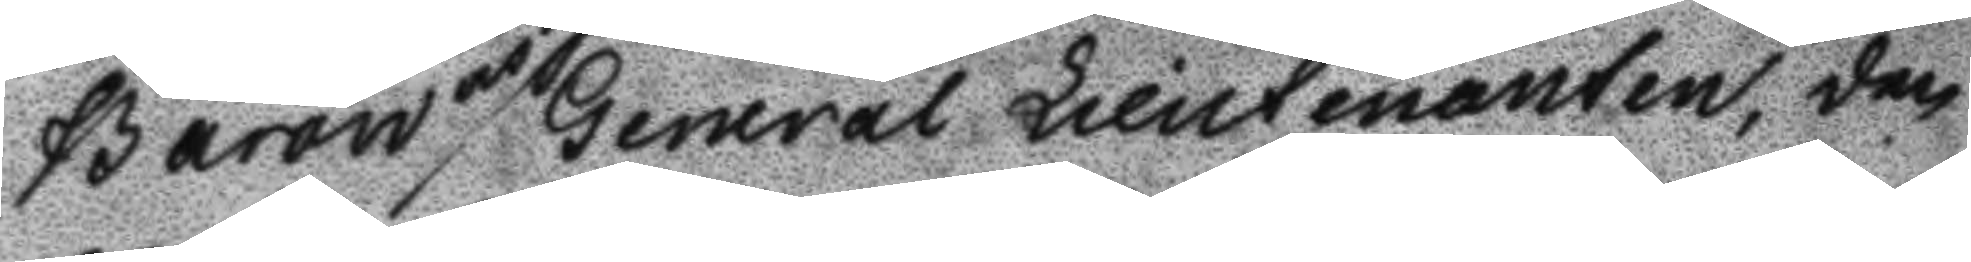Baron och General Lieutenanten, den
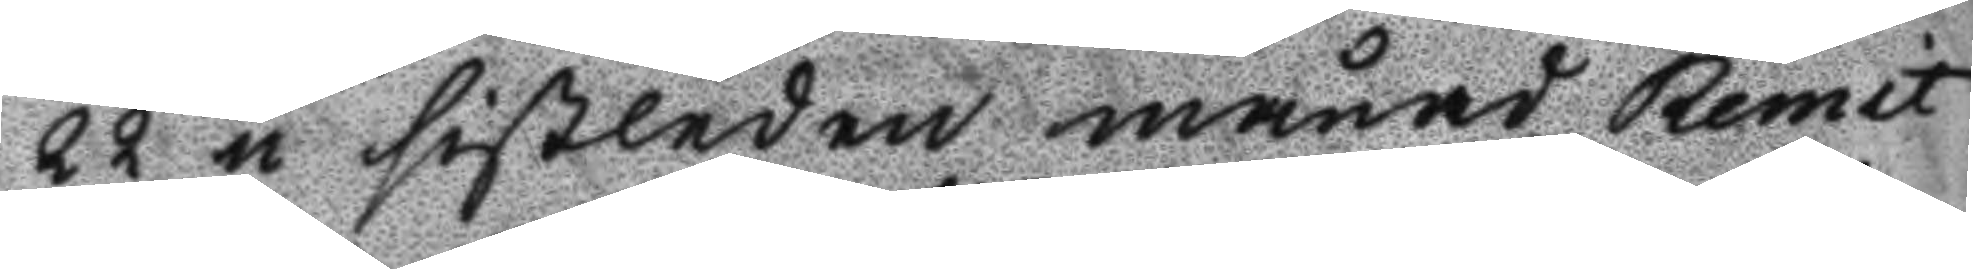22 i sistledne månad Remit
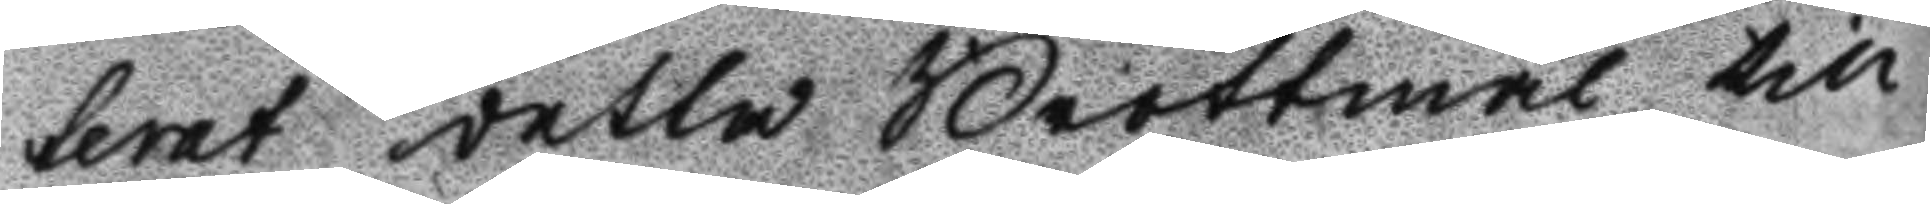terat detta Brottmål till
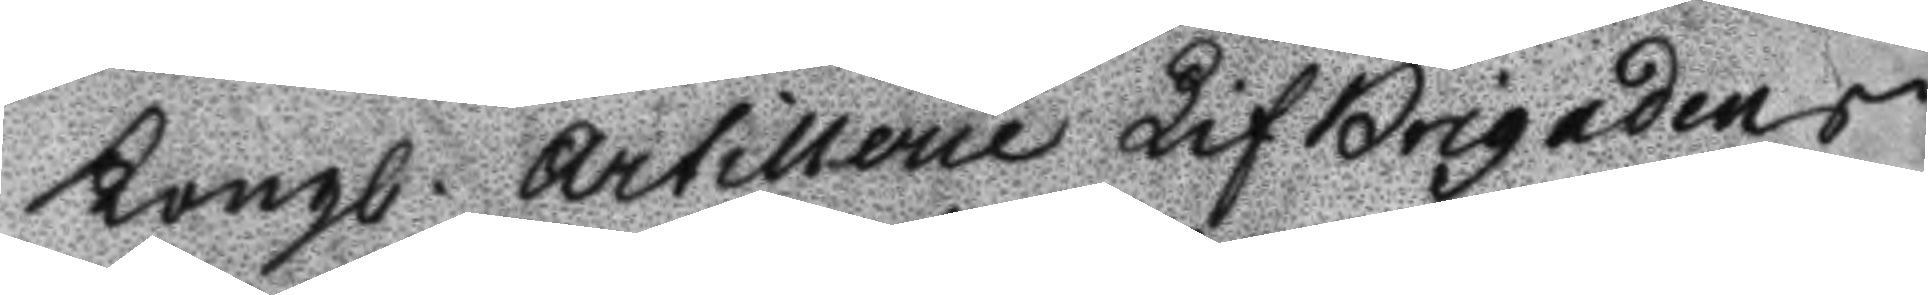Kongl. Artillerie LifBrigadens
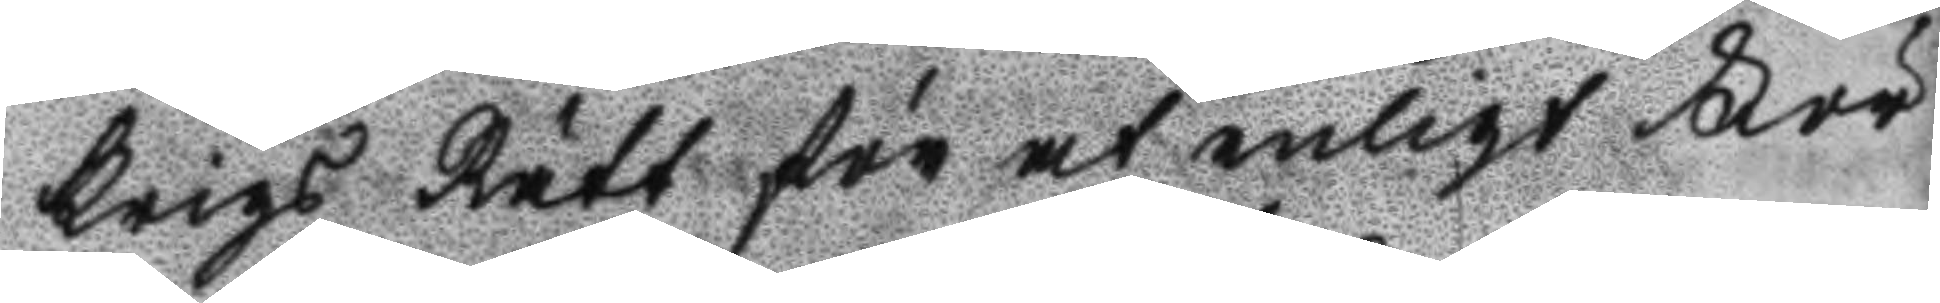Krigs Rätt för at enligt För
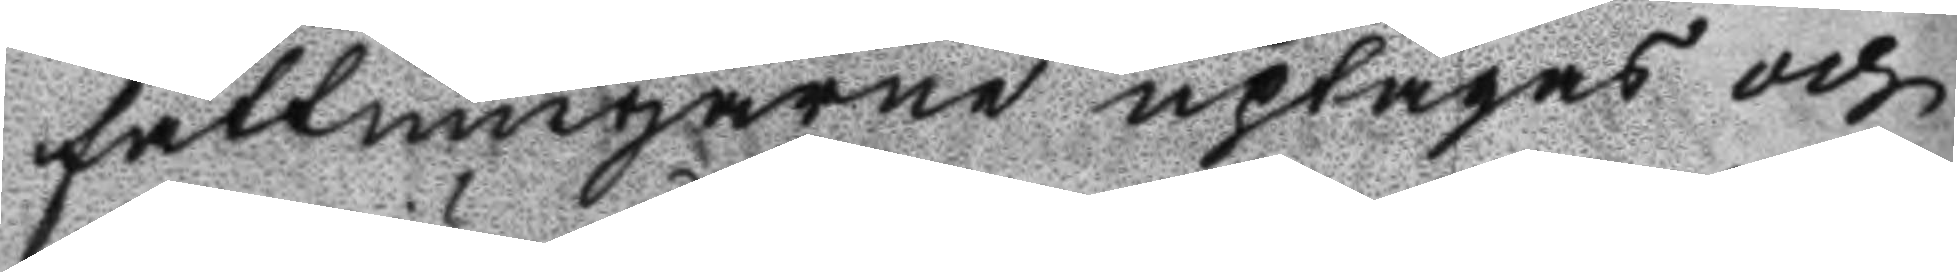fattningarne uptagas och
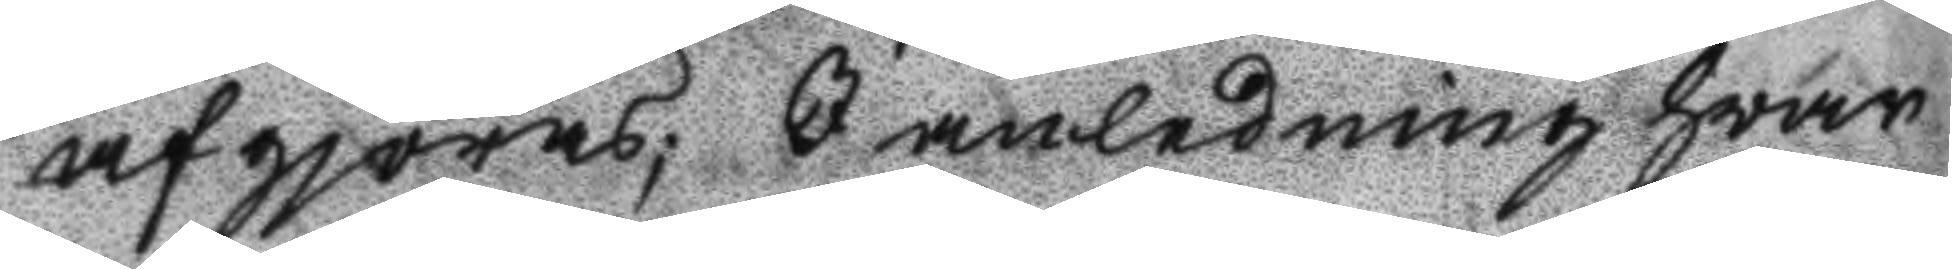afgjöras; I anledning hwar
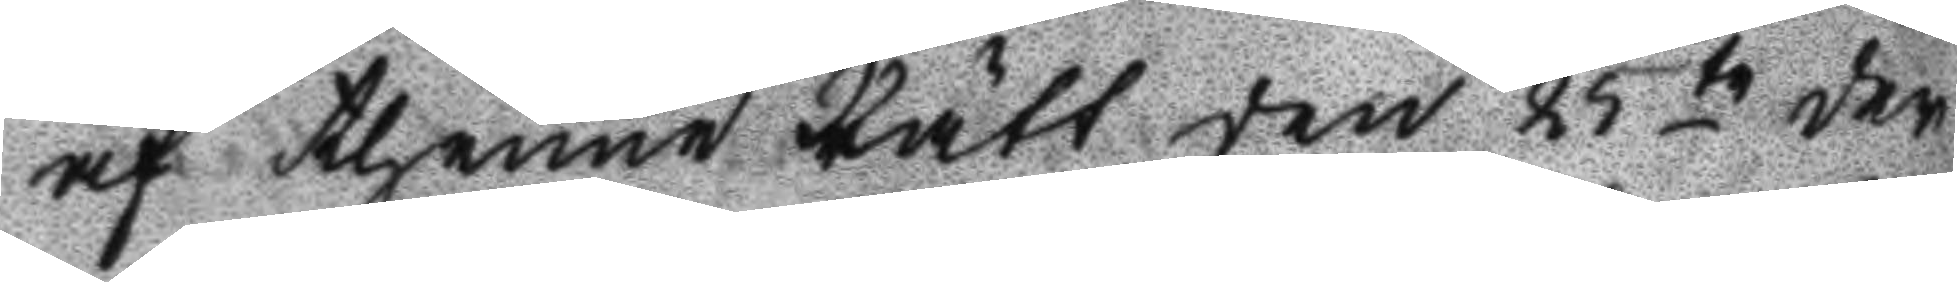af thenne Rätt den 25te der
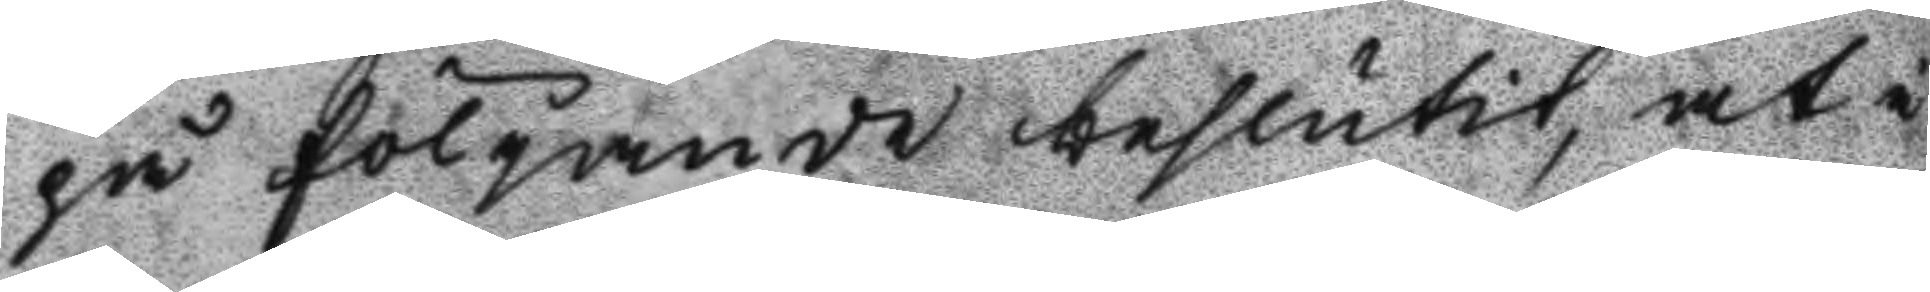påfölgande beslutit, at i
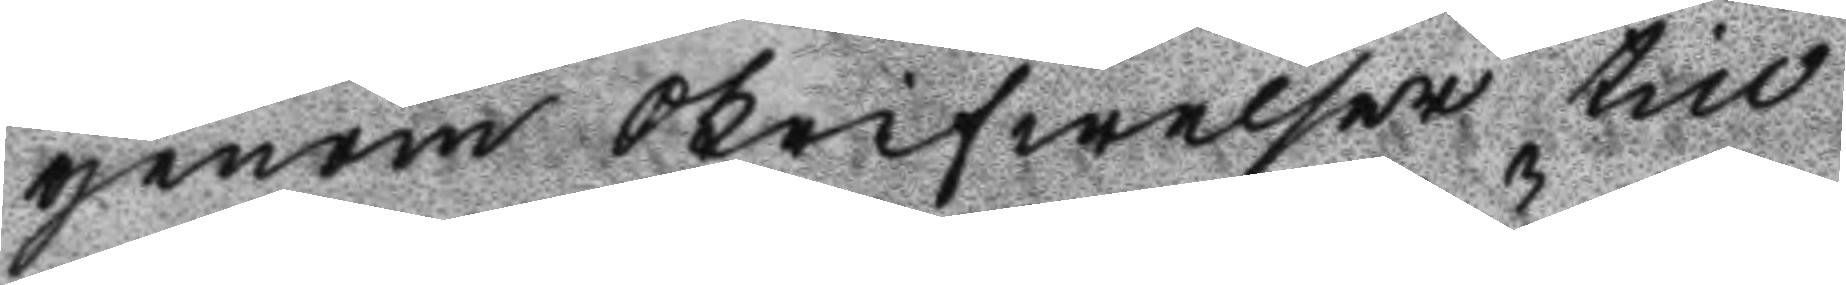genom skrifwelser till
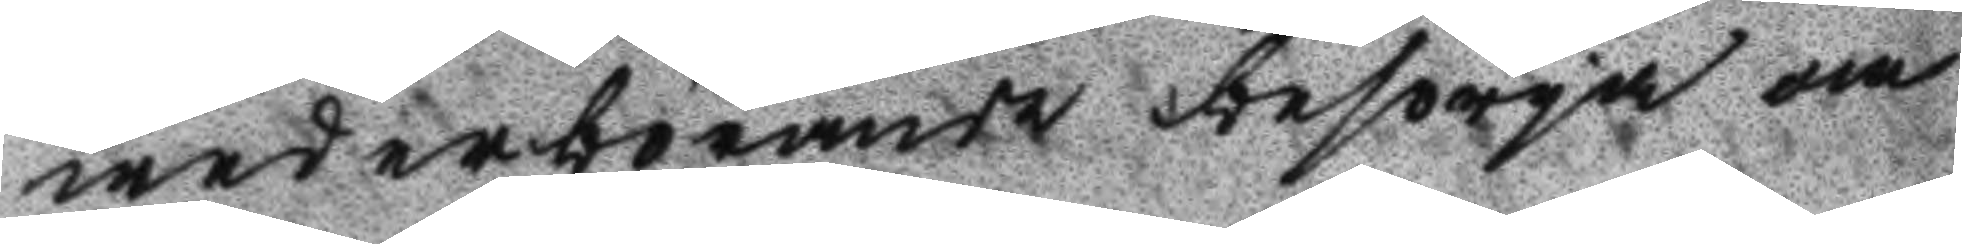wederbörande behöriga om
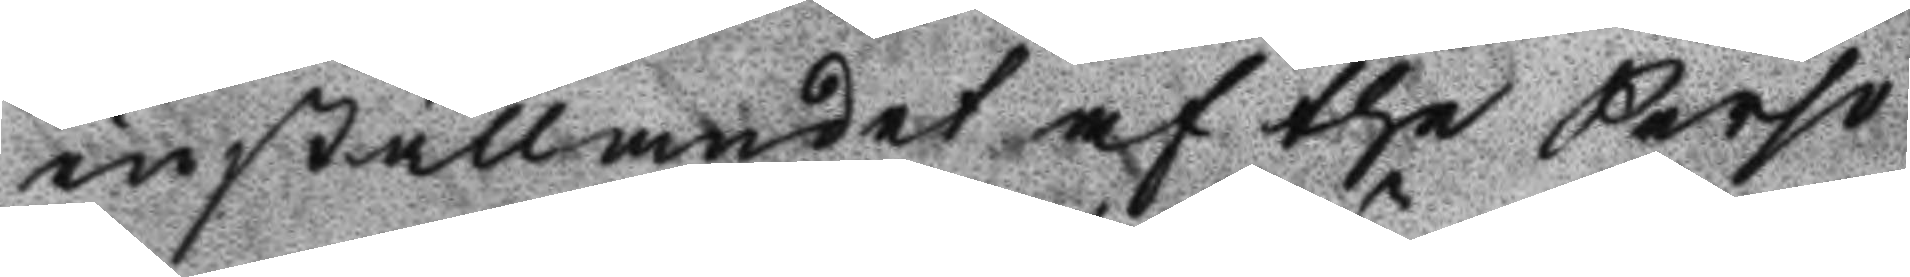inställandet af the Perso
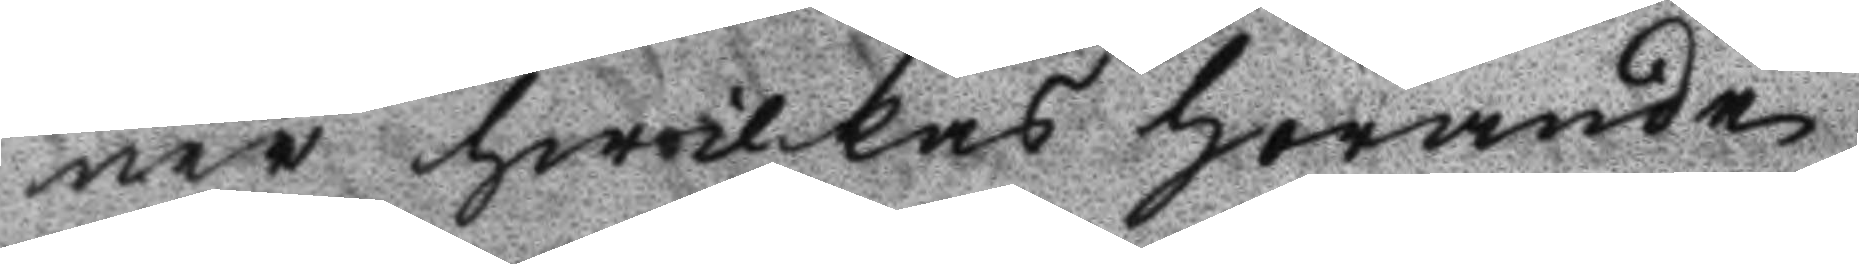ner hwilkas hörande
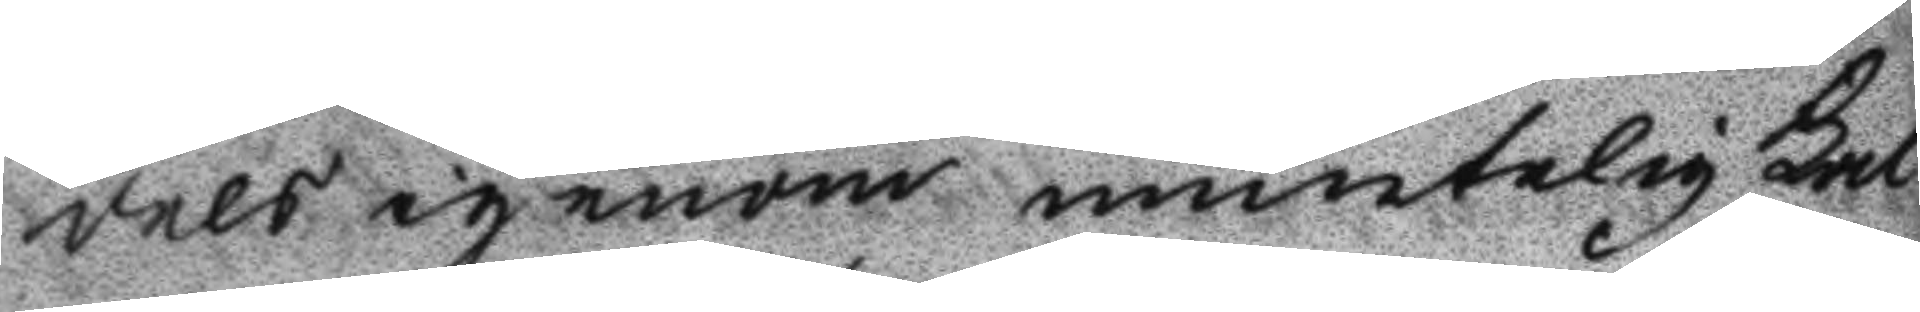dels igenom muntelig Kal
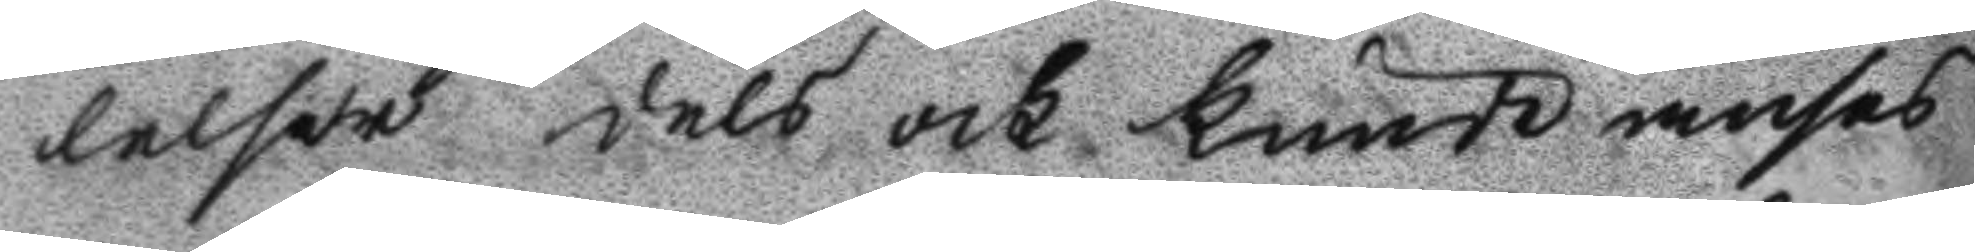lelser dels och kunde anses
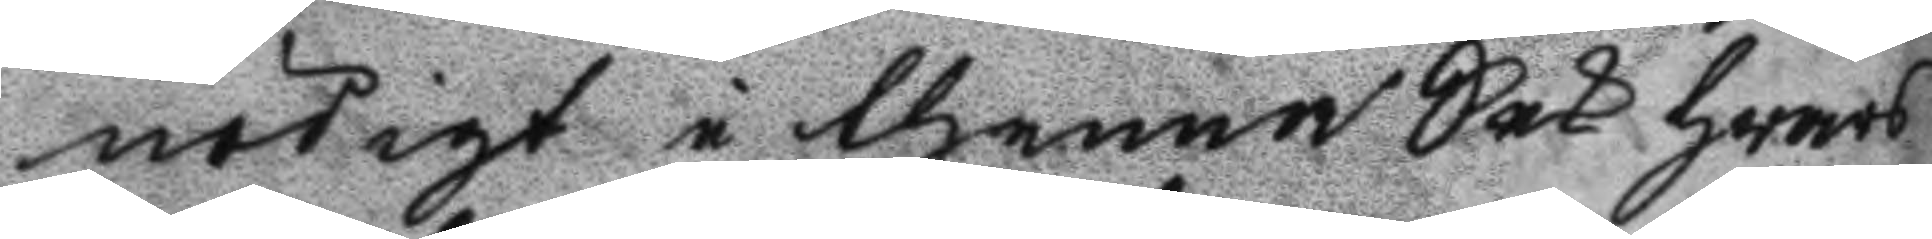nödigt i thenna Sak hwars
